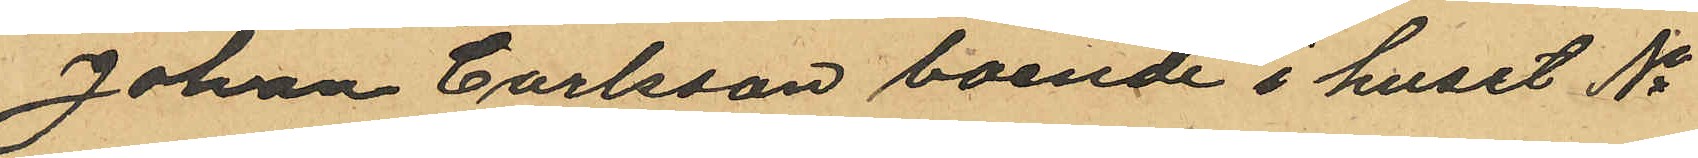Johan Carlsson boende i huset No
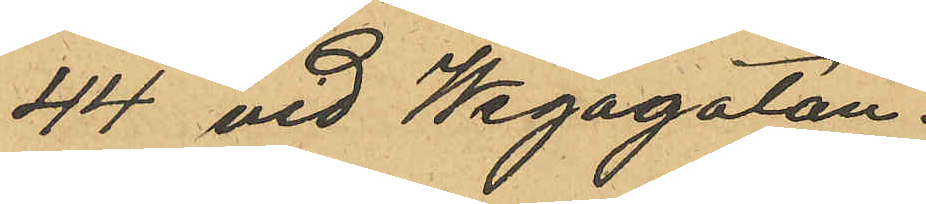44 vid Wegagatan.
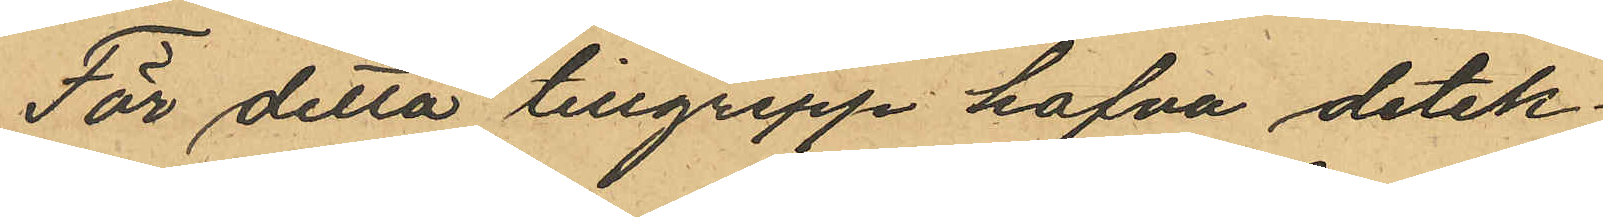För detta tillgrepp hafva detek¬
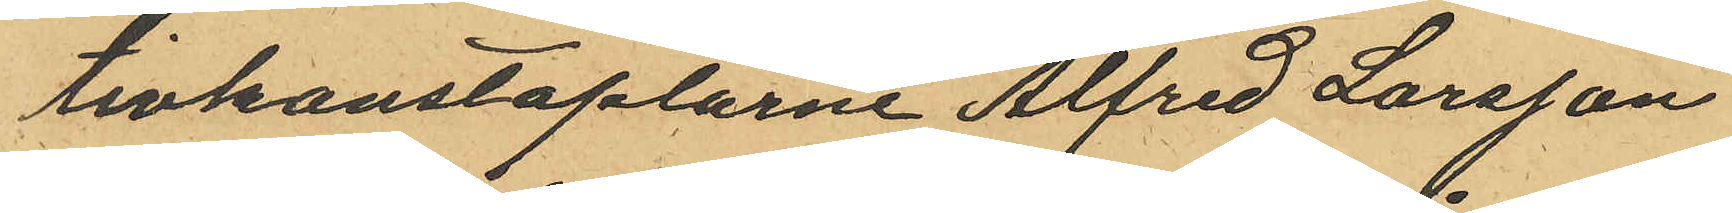tivkonstaplarne Alfred Larsson
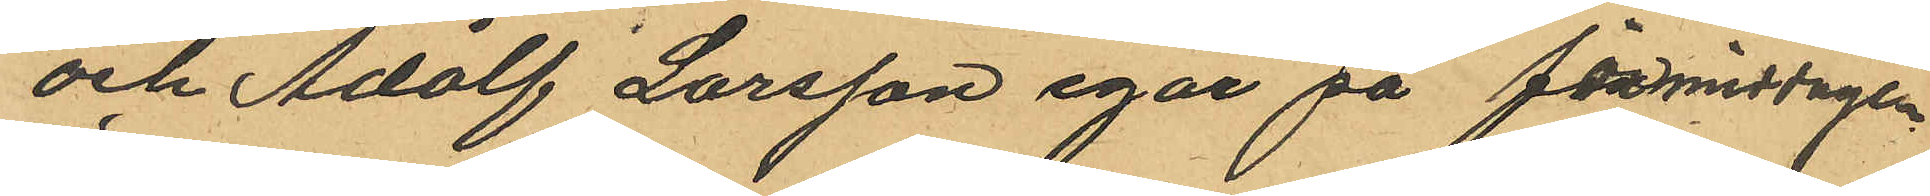och Adolf Larsson igår på förmiddagen
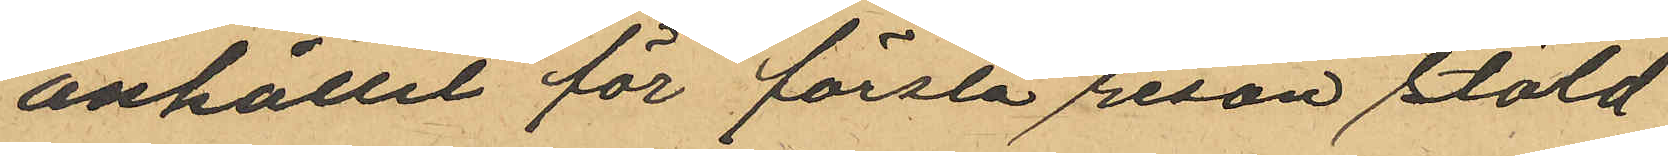anhållit för första resan stöld
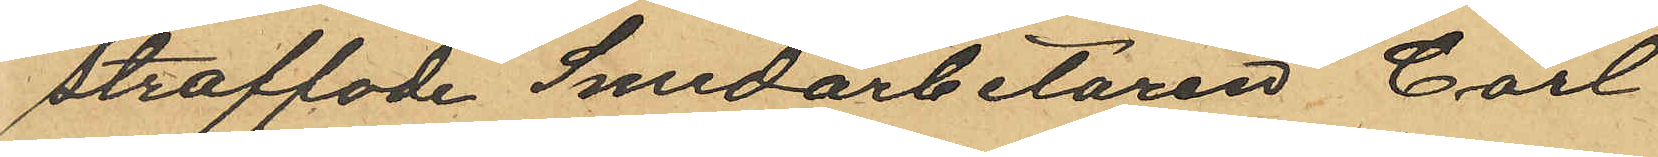straffade Smedarbetaren Carl
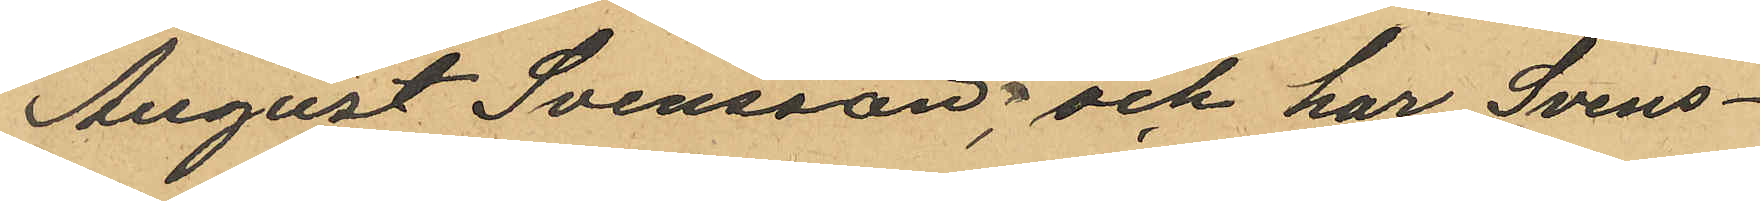August Svensson, och har Svens¬
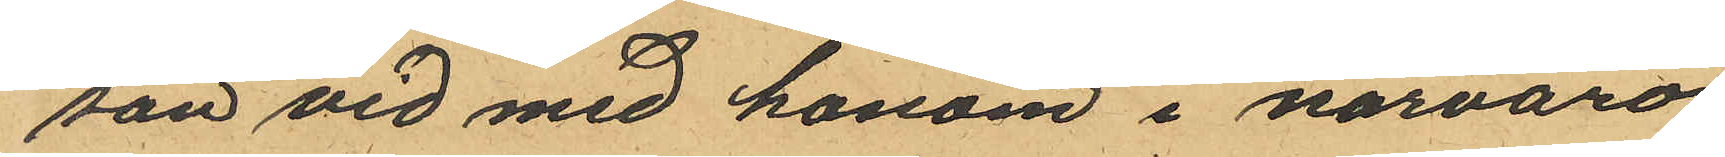son vid med honom i närvaro
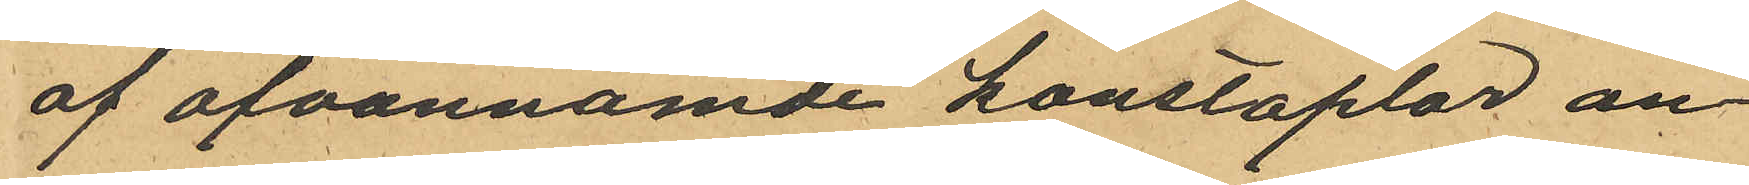af ofvannämde konstaplar an¬
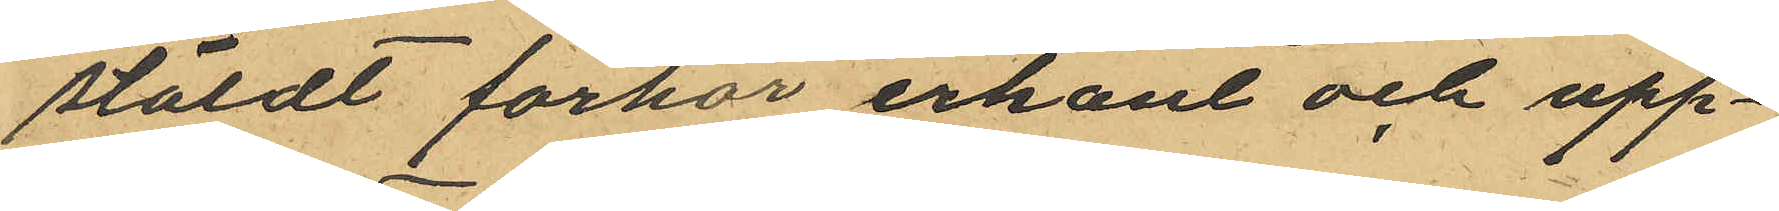stäldt förhör erkänt och upp¬
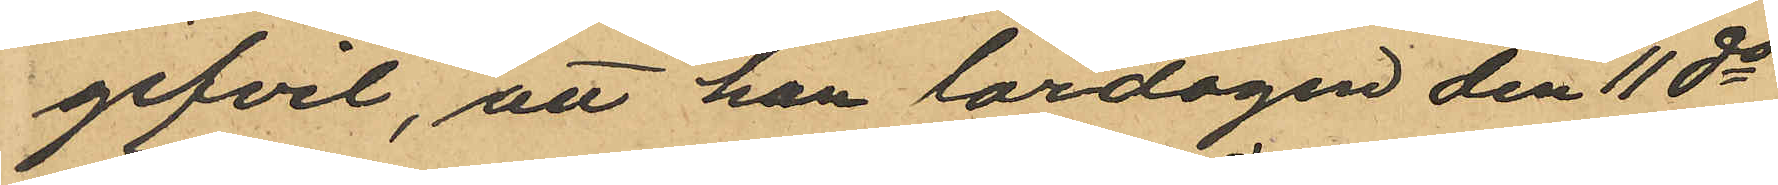gifvit, att han lördagen den 11 ds
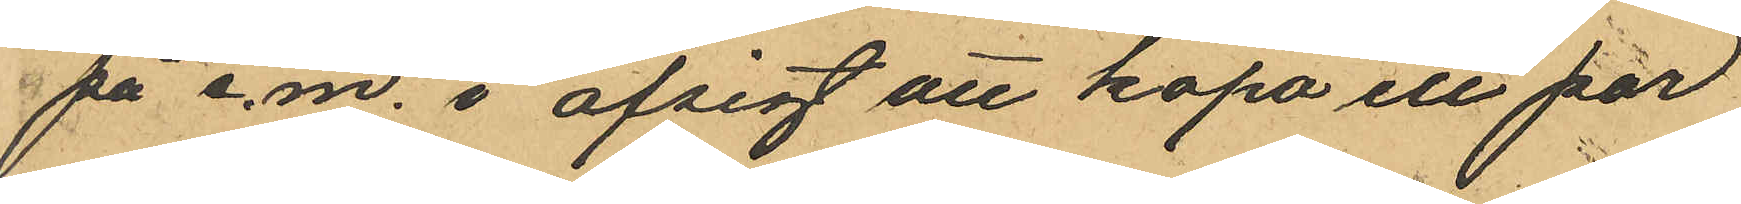på e.m. i afsigt att köpa ett par
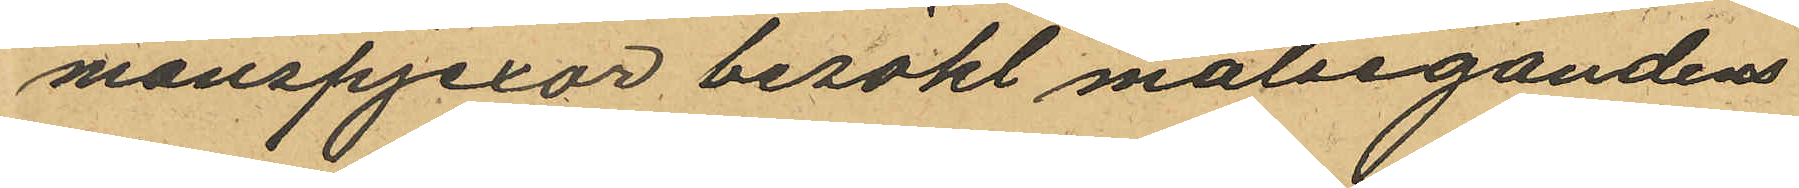manspjexor besökt målsegandens
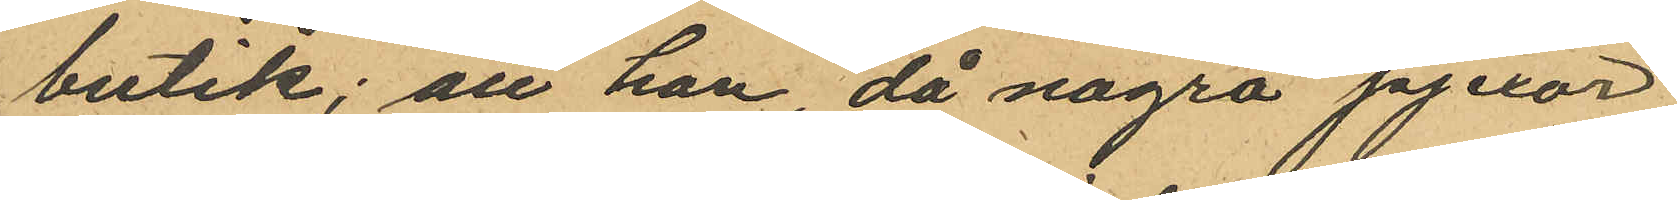butik; att han, då några pjexor
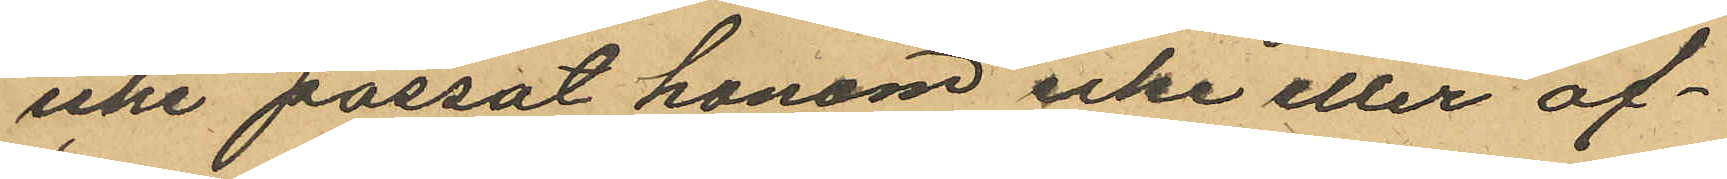icke passat honom icke eller af¬
